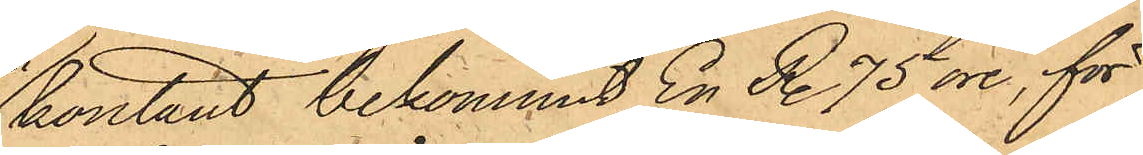kontant bekommit En R. 75 öre, för
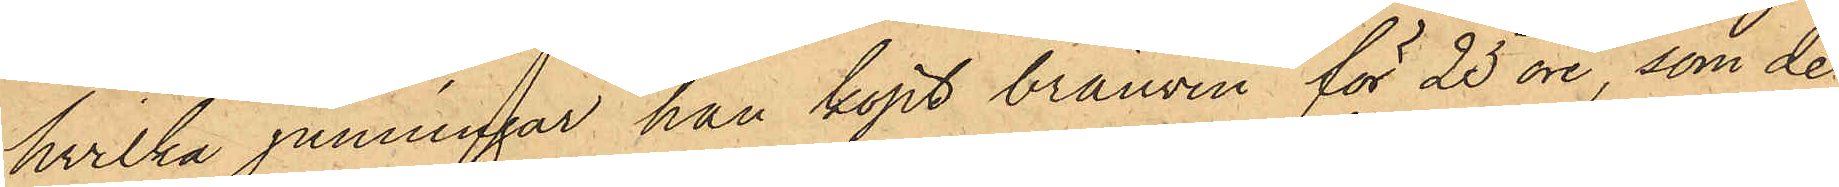hvilka penningar han köpt brännvin för 25 öre, som de
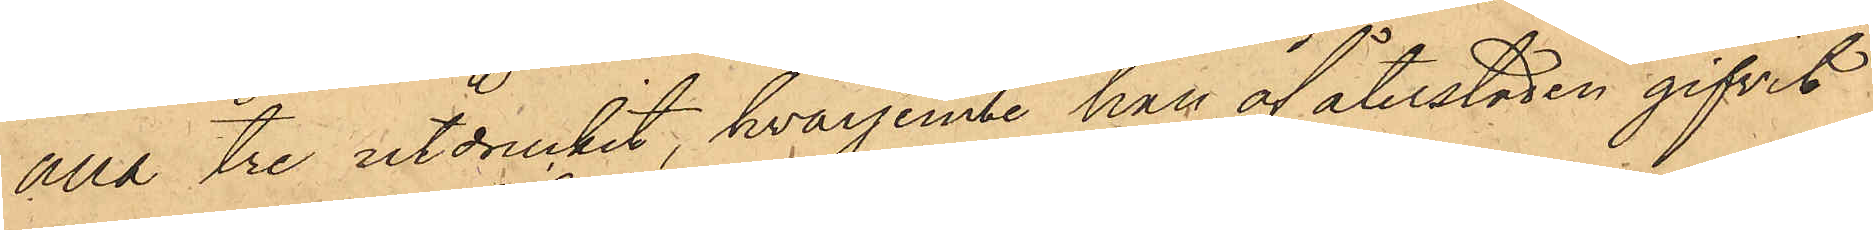alla tre utdruckit, hvarjemte han af återstoden gifvit
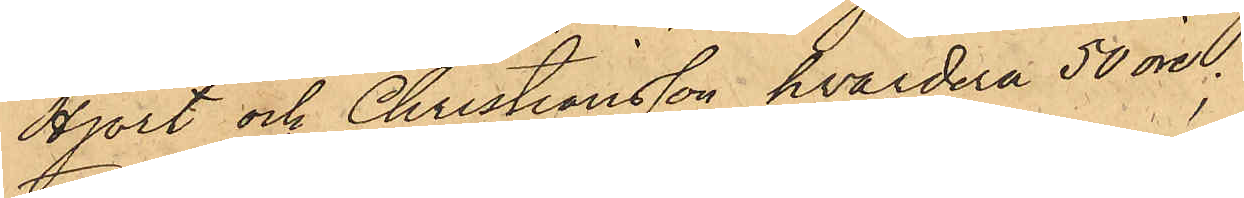Hjort och Christiansson, hvardera 50 öre.
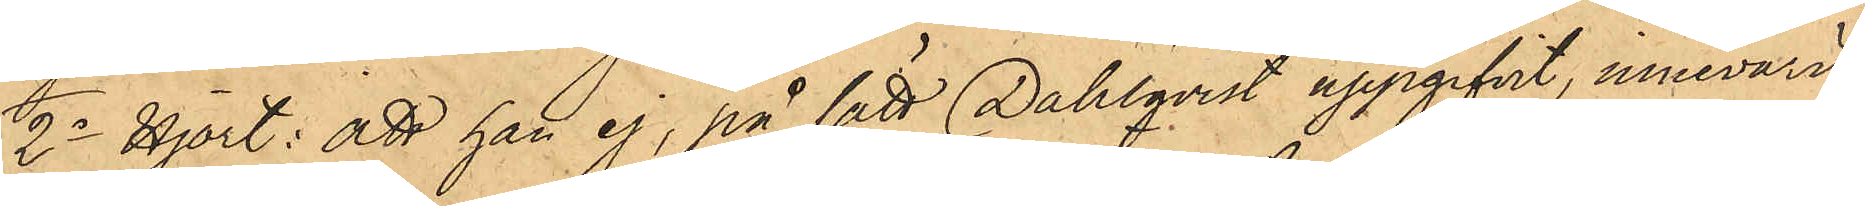2o Hjort: att han ej, på sätt Dahlqvist uppgifvit, innevarit
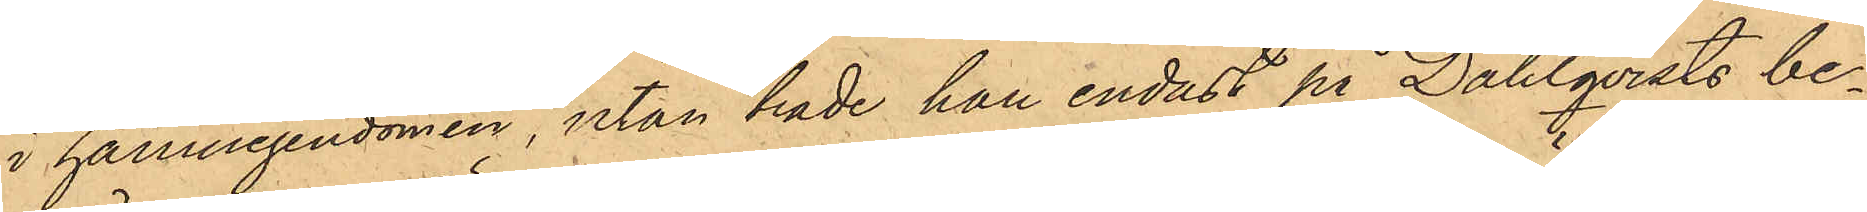i hamnegendomen, utan hade han endast på Dahlqvists be¬
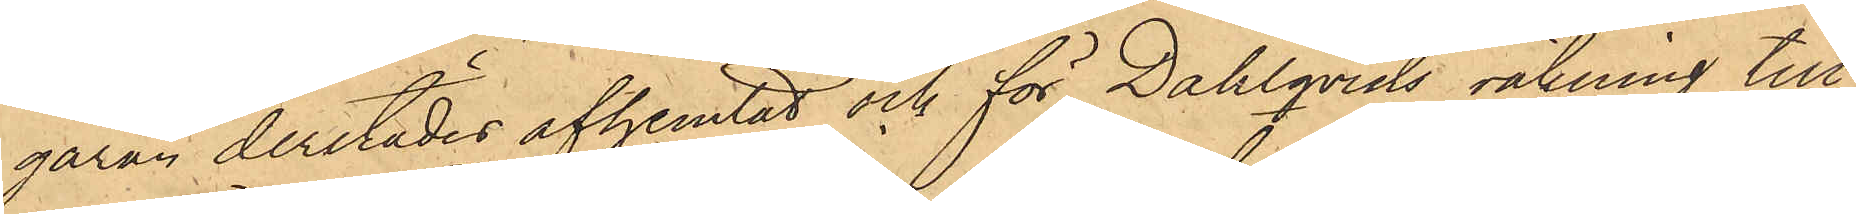gäran derstädes afhemtat och för Dahlqvists räkning till
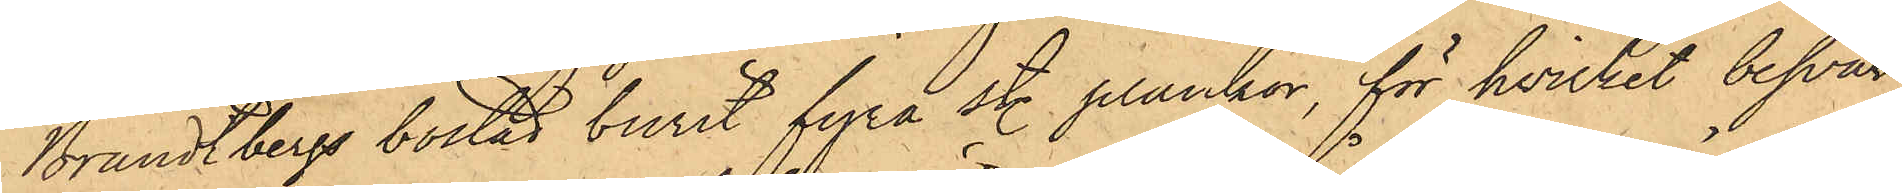Brandtbergs bostad burit fyra st. plankor, för hvilket besvär
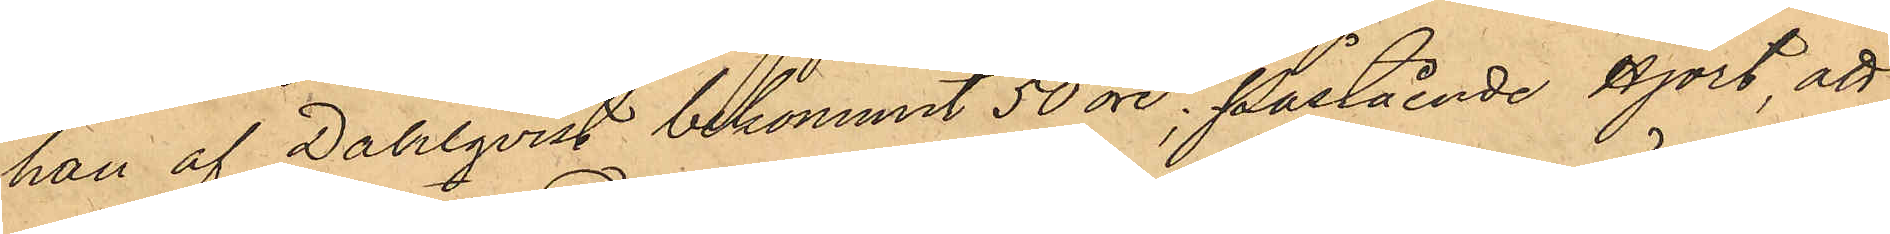han af Dahlqvist bekommit 50 öre; påstående Hjort att
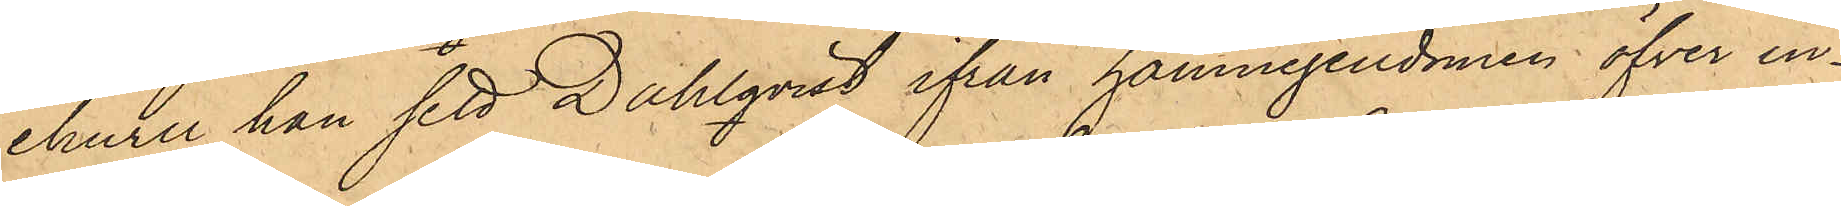ehuru han sett Dahlqvist ifrån hamnegendomen öfver in¬
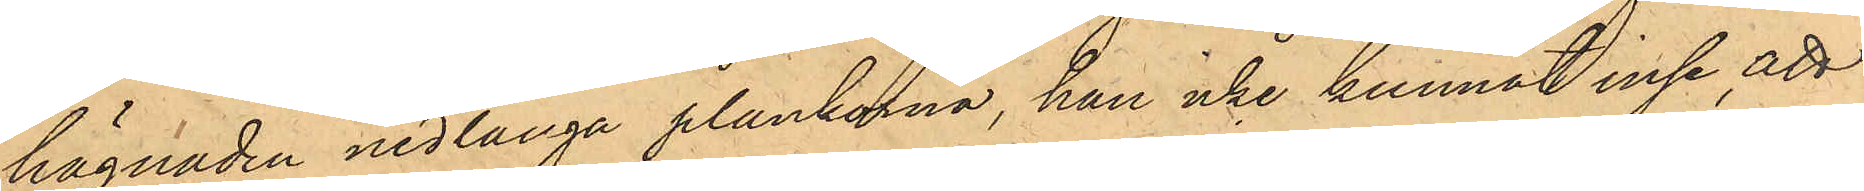hägnaden nedlanga plankorna, han icke kunnat inse att
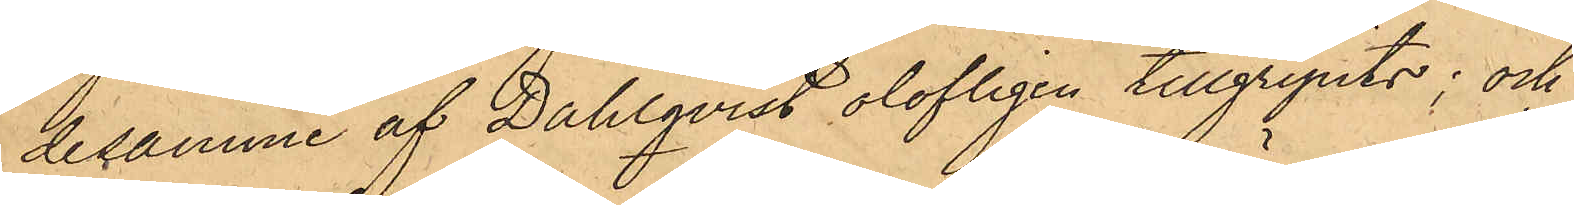desamme af Dahlqvist olofligen tillgripits; och
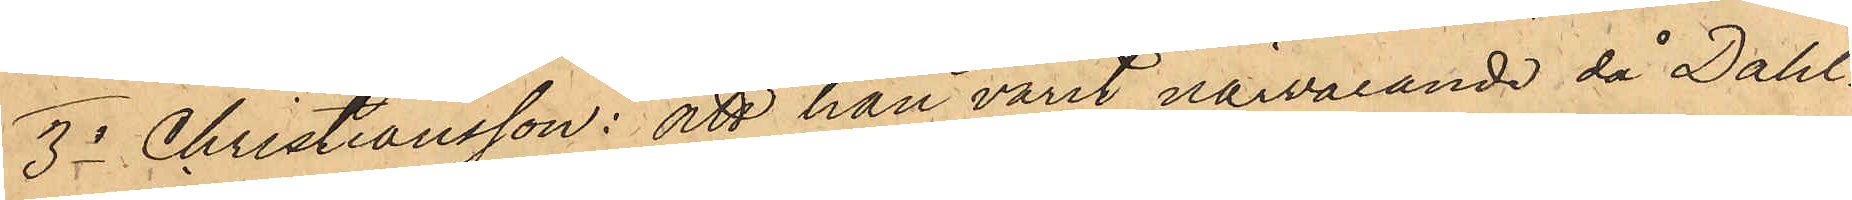3o Christiansson: att han varit närvarande då Dahl¬
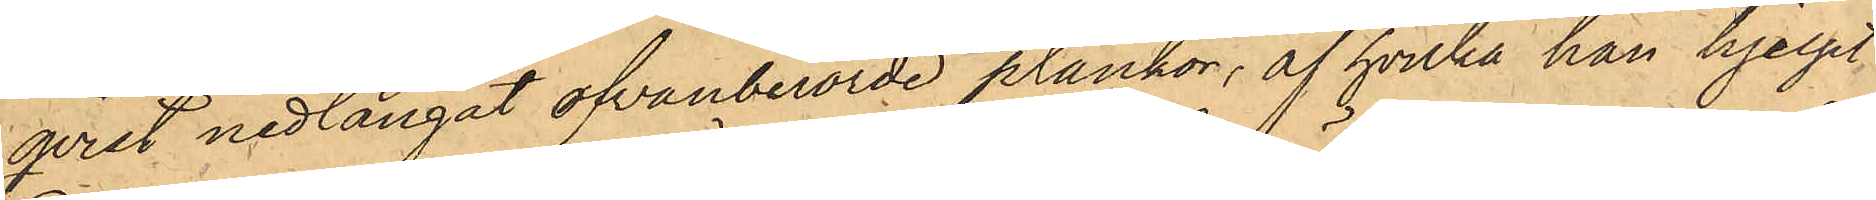qvist nedlangat ofvanberörde plankor, af hvilka han hjelpt
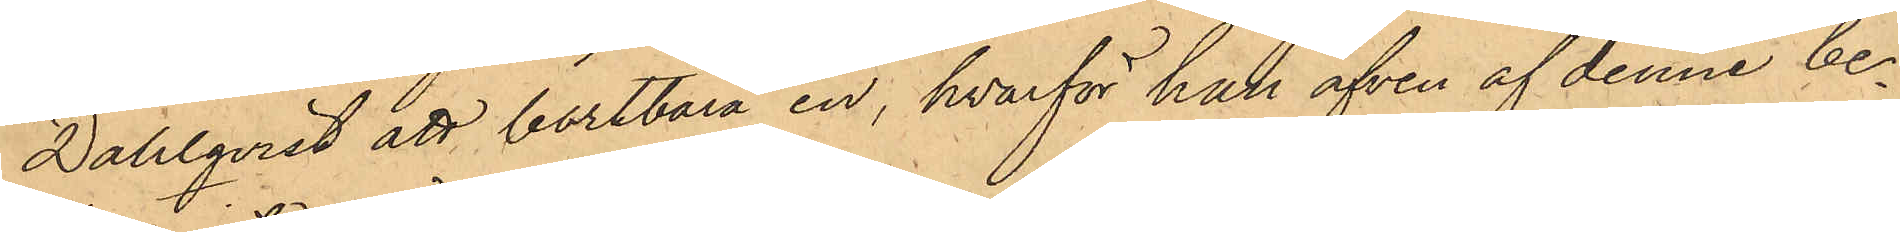Dahlqvist att bortbära en, hvarför han äfven af denne be¬
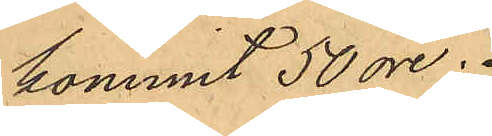kommit 50 öre.
